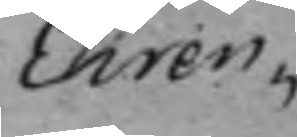Ehren¬
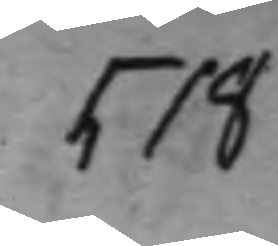518
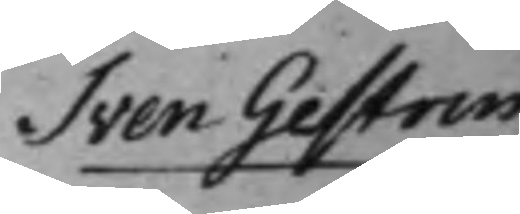Sven Gestrin
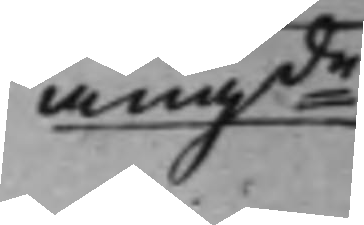angde
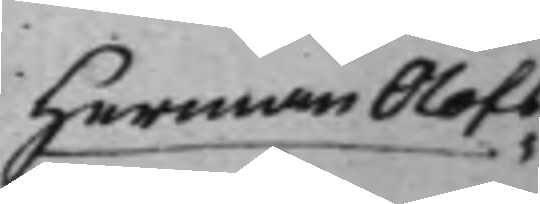Herman Olofs¬
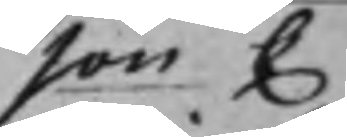son C
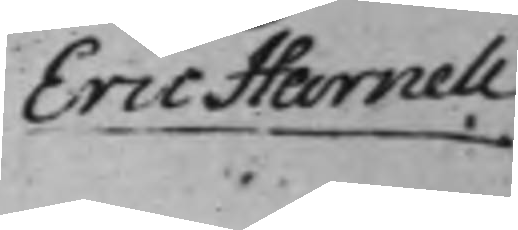Eric Harnell
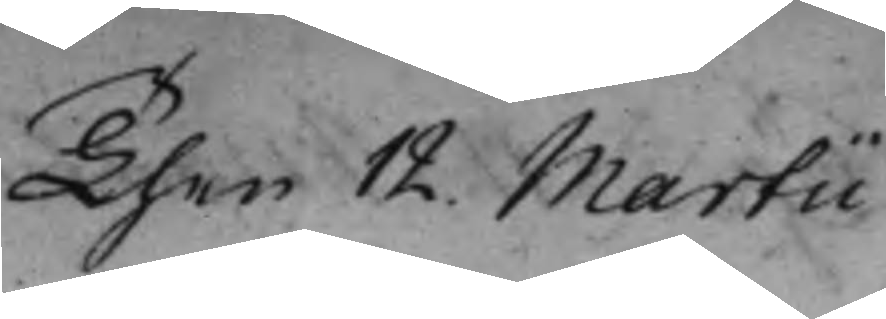Then 12. Martii.
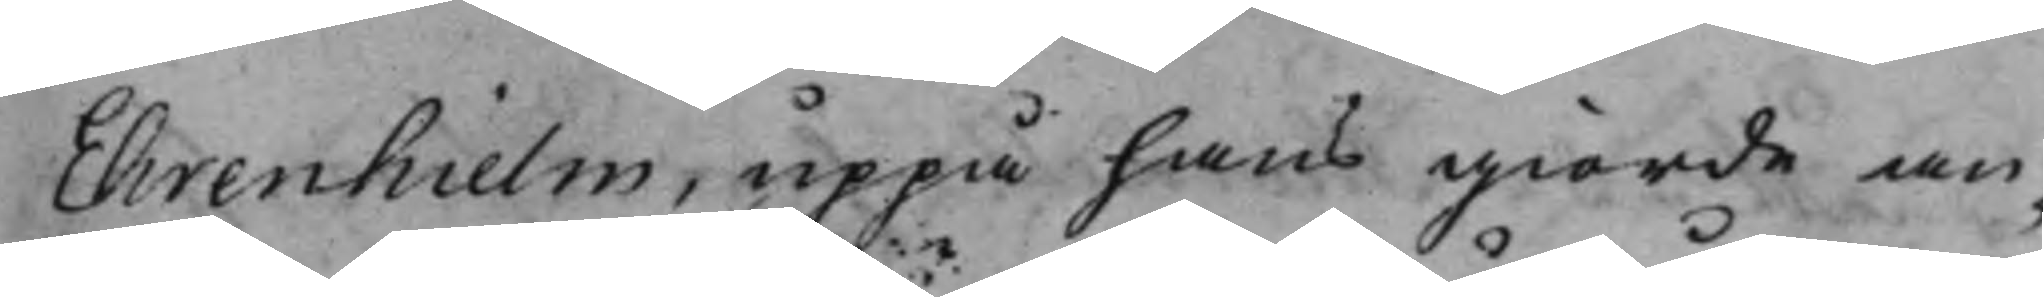Ehrenhielm, uppå hans giorde an¬
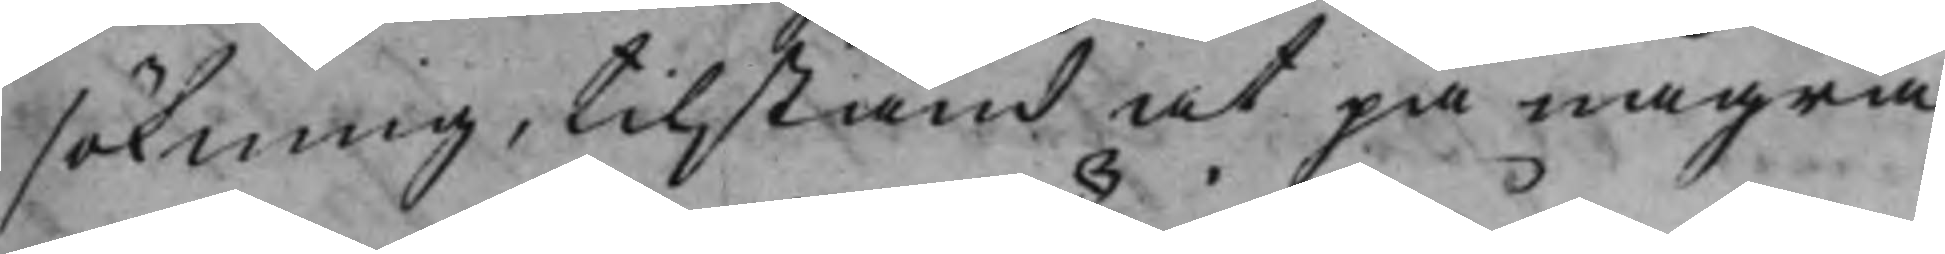sökning, tilstånd at på några
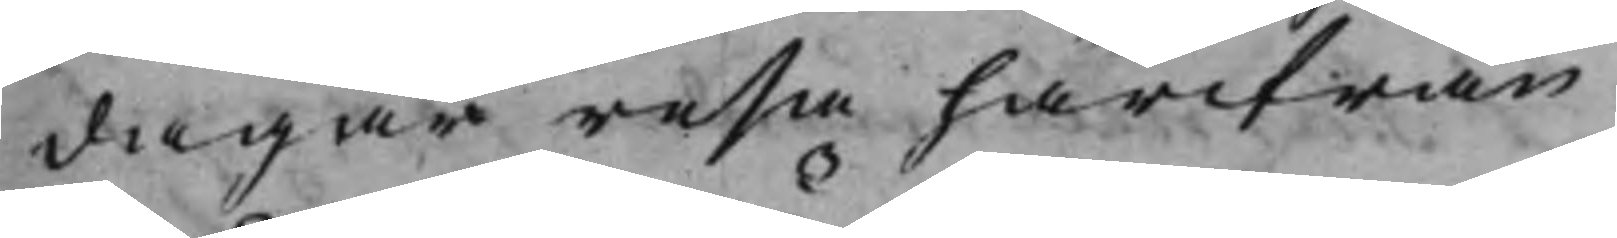dagar resa härifrån.
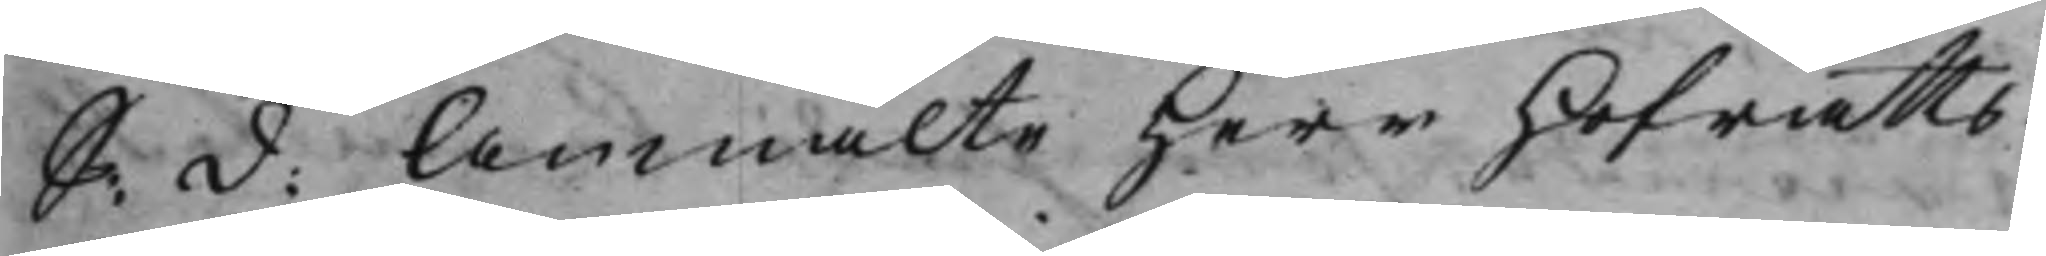S: d: Anmälte Herr Hofrätts¬
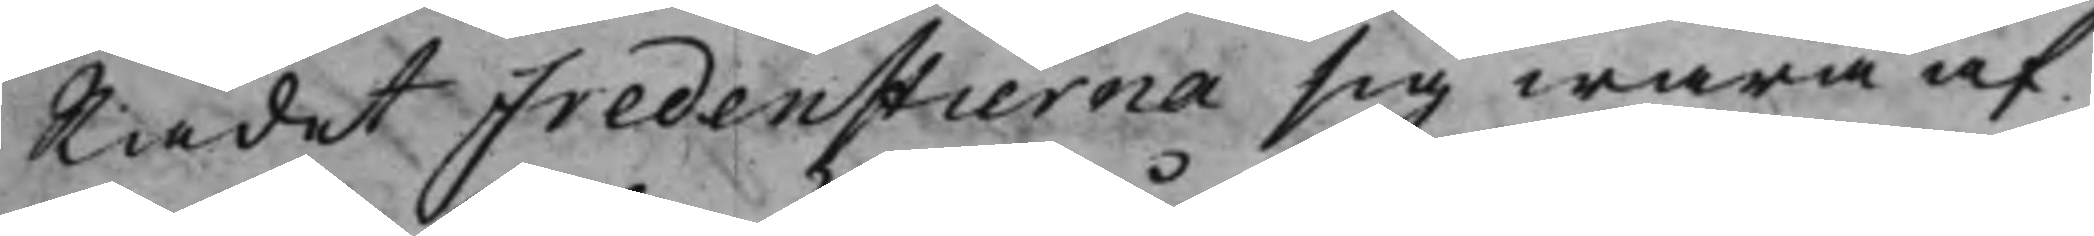Rådet Fredenstierna sig wara af
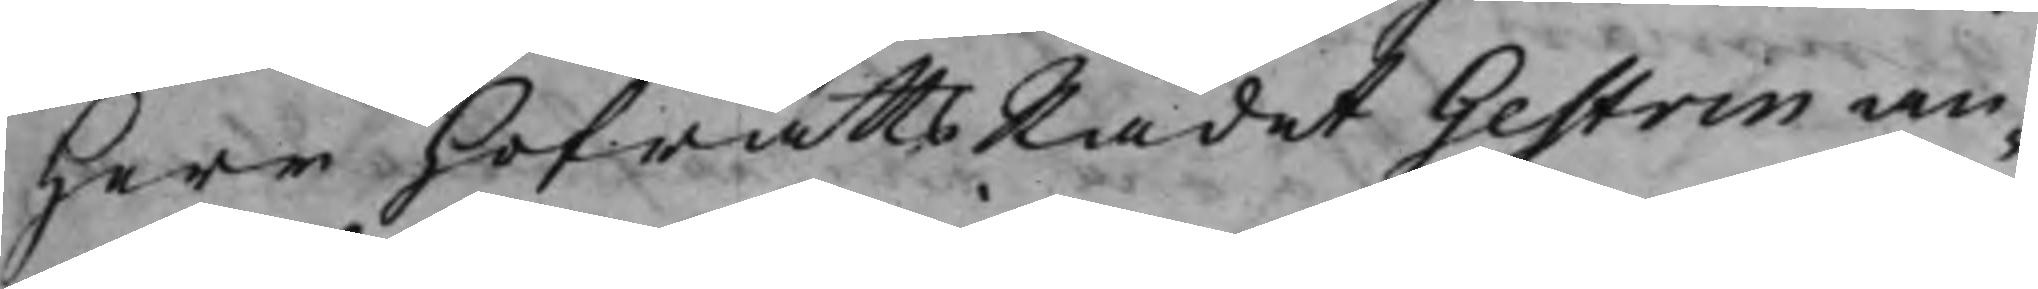Herr HofrättsRådet Gestrin an¬
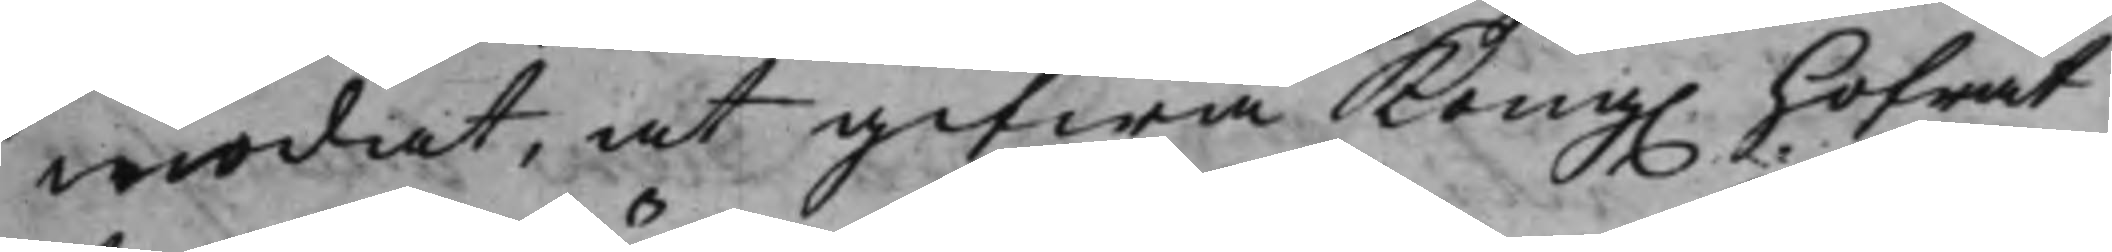modat, at gifwa Kong. Hofrät¬
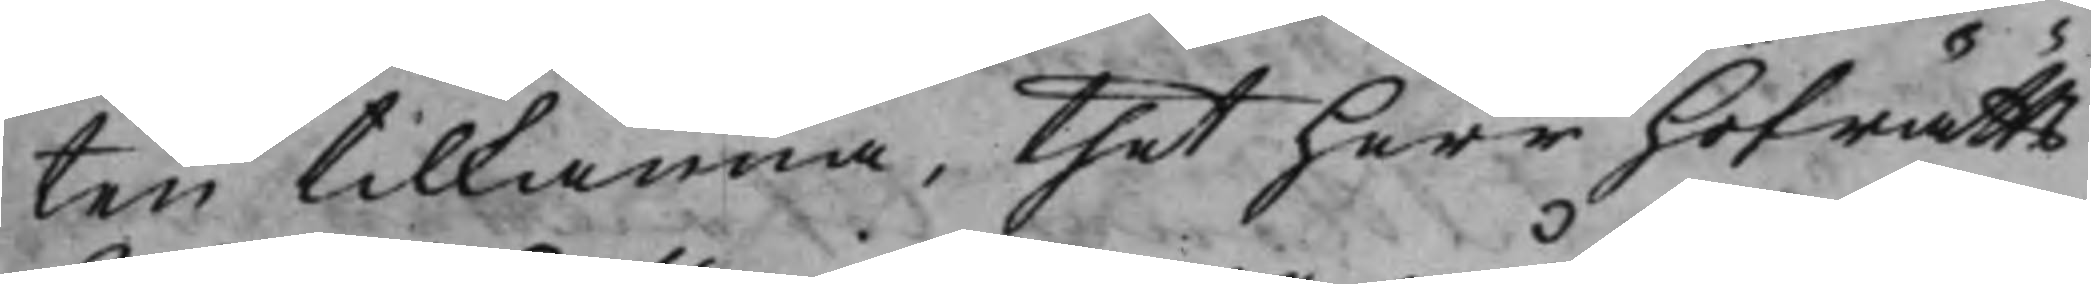ten tilkänna, thet Herr Hofrätts¬
